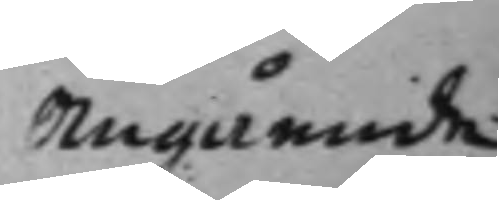Angående
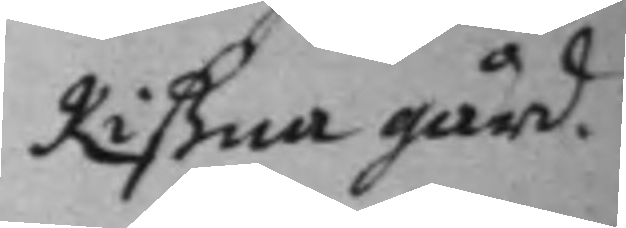Rißna gård.
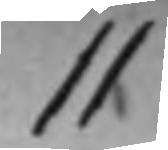11
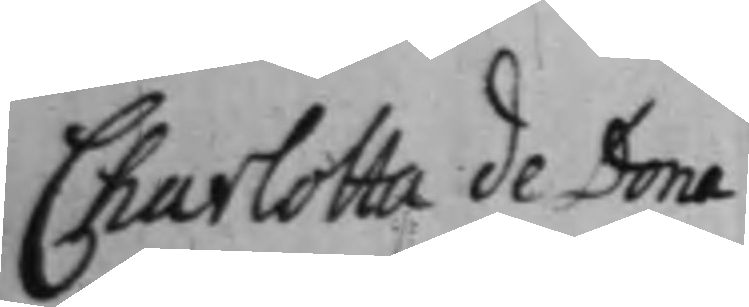Charlotta de Dona
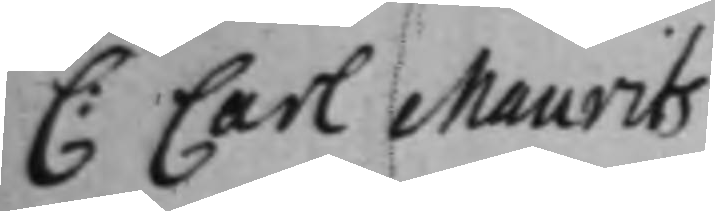C: Carl Maurits
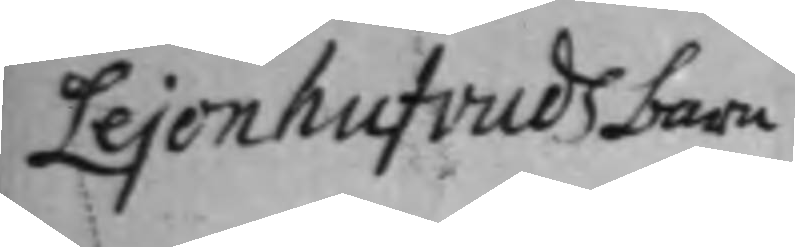Lejonhufvuds barn
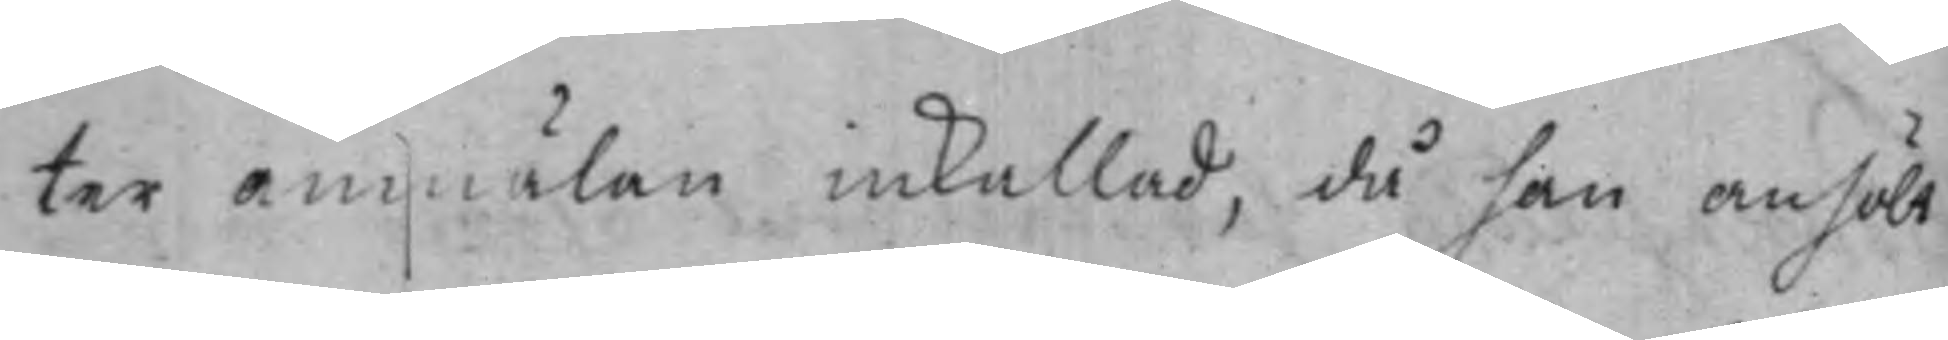ter anmälan inkallad, då han anhölt 
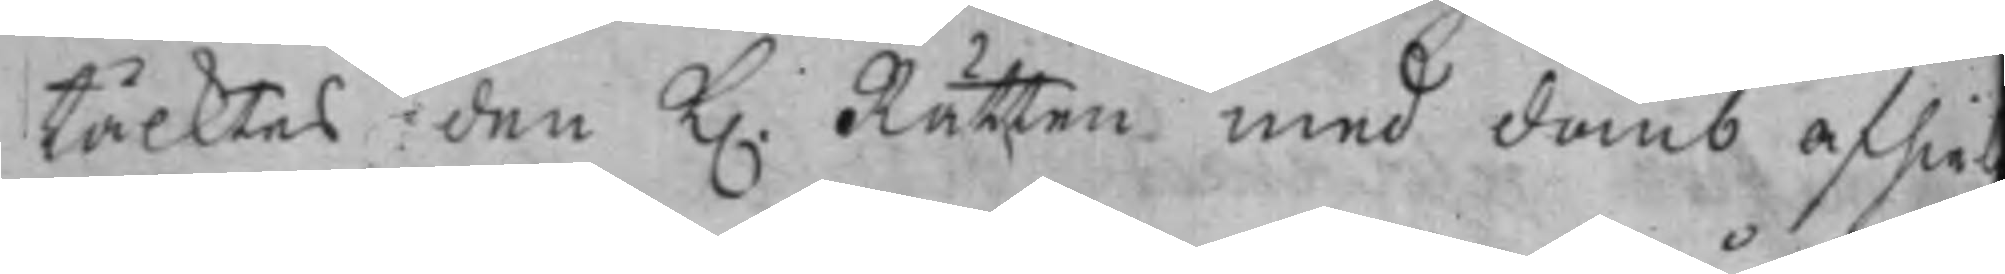täcktes den K. Rätten med domb afhiel
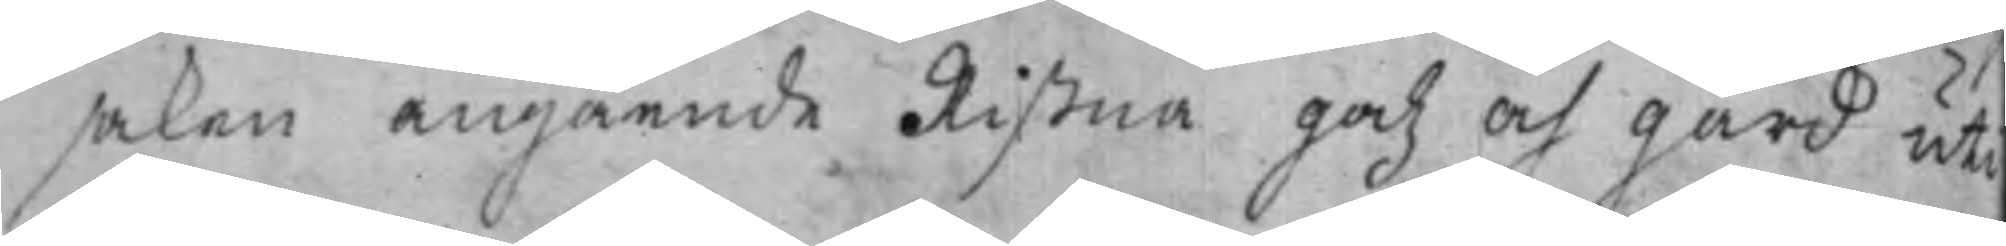saken angående Rißna godz och gård uti
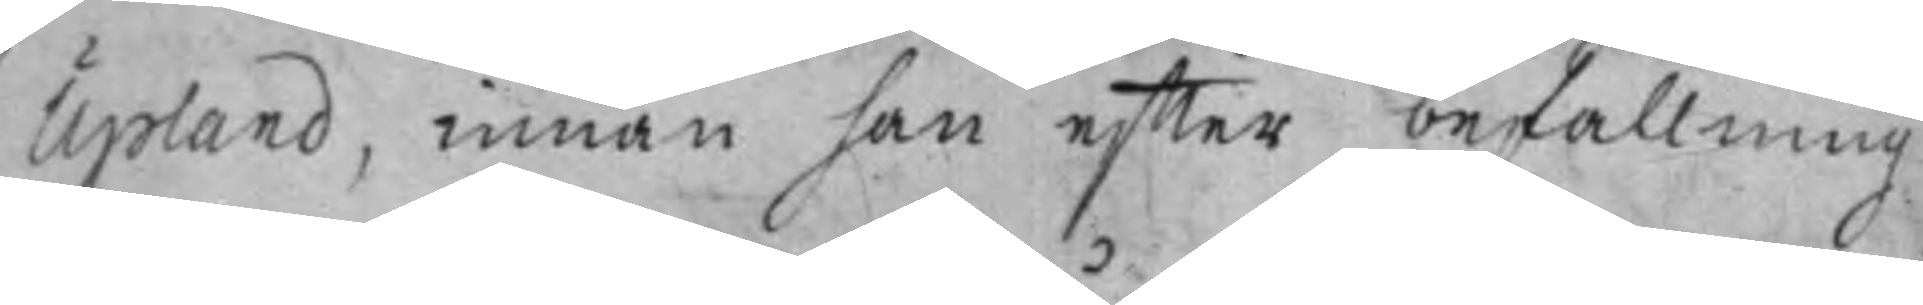Upland, innan han effter befallning
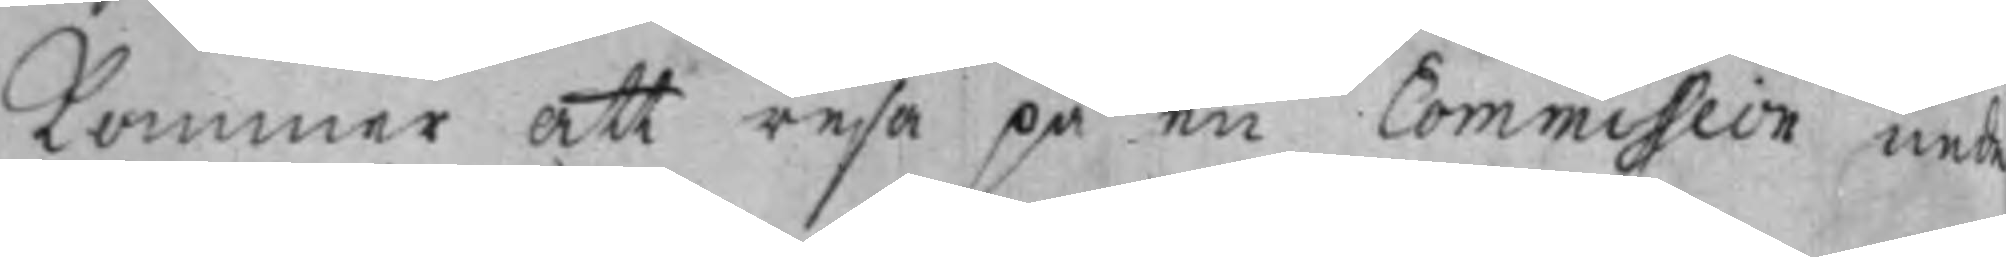kommer att resa på en Commission nede
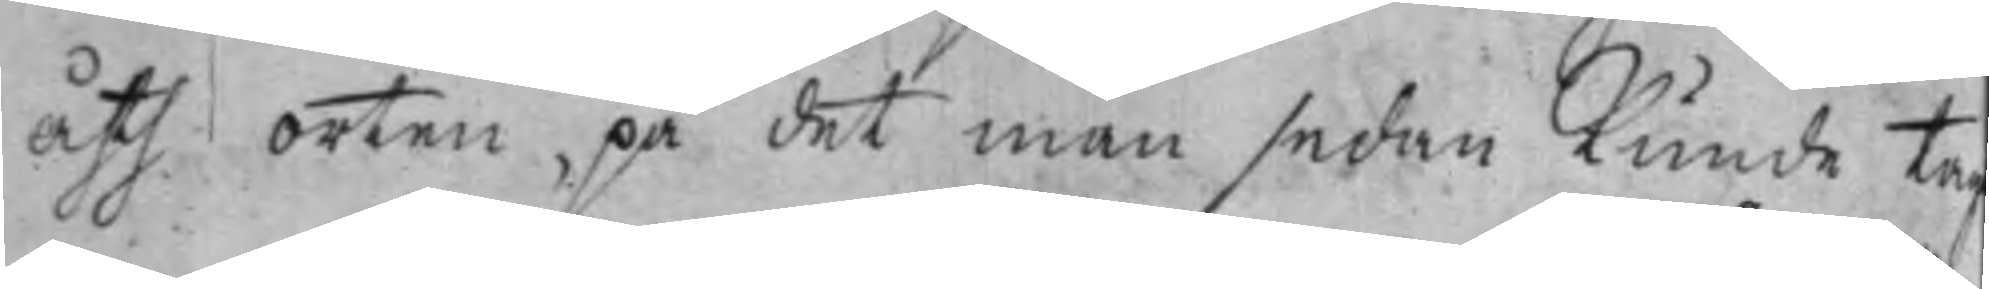åth orten, på det man sedan Kunde tag
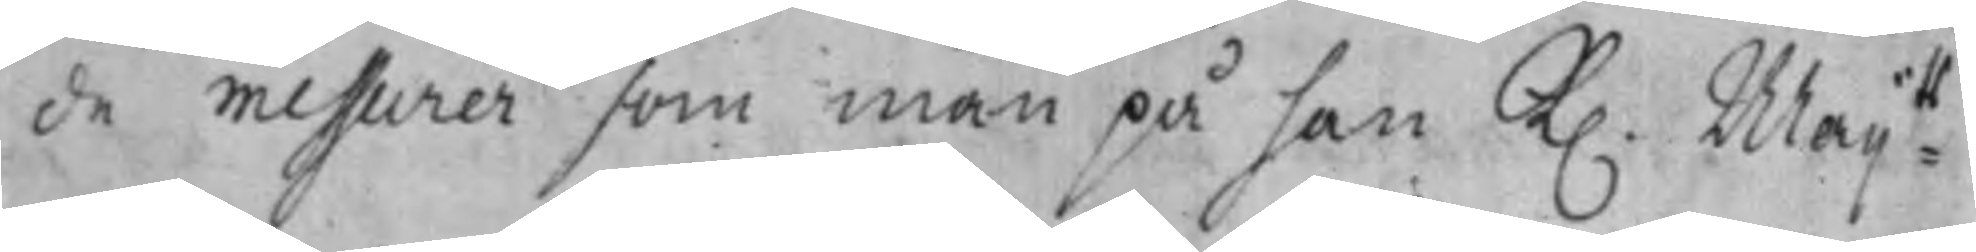de messurer som man på han K. Maij:ts-
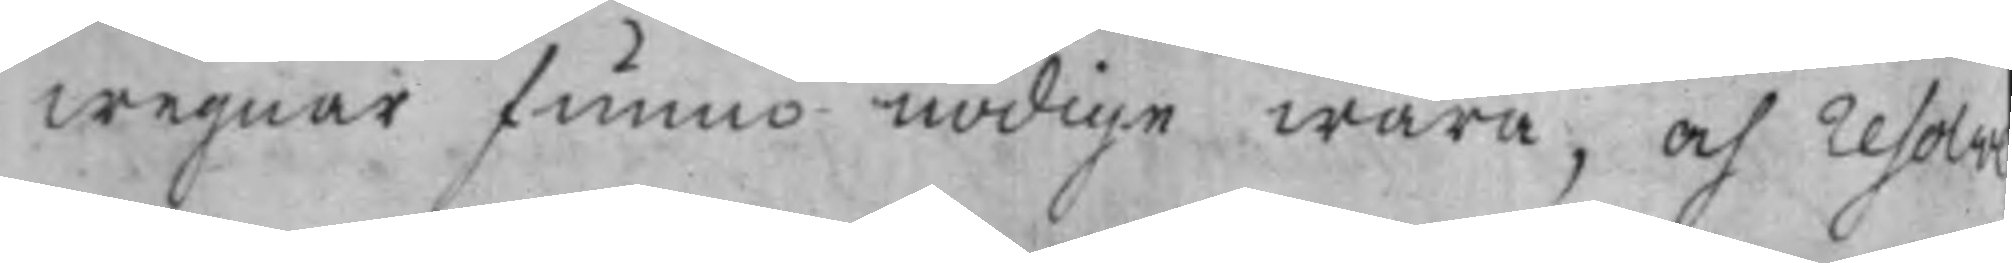wegnar funno nödige wara, och resolve¬
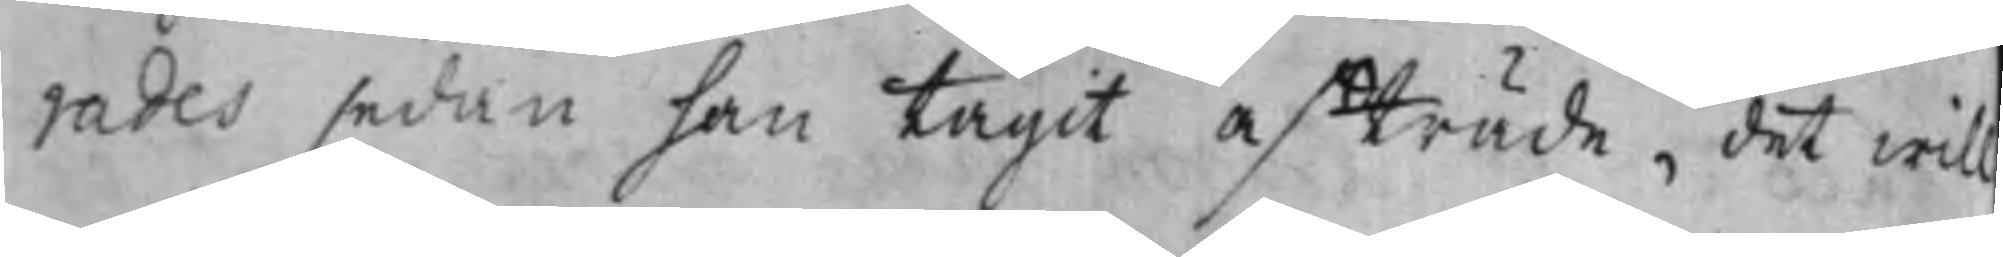rades sedan han tagit afträde. det will
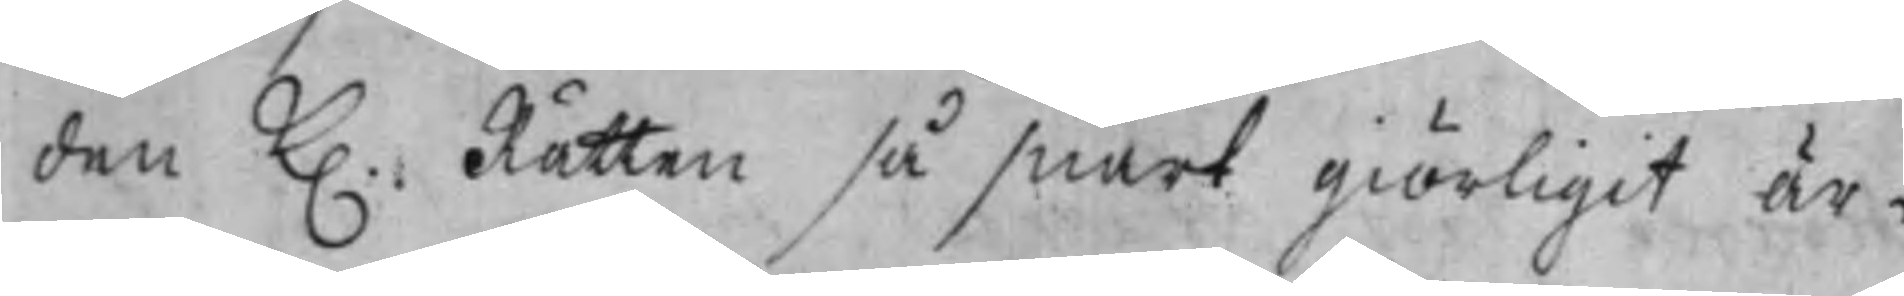den K. Rätten så snart giörligit är,
